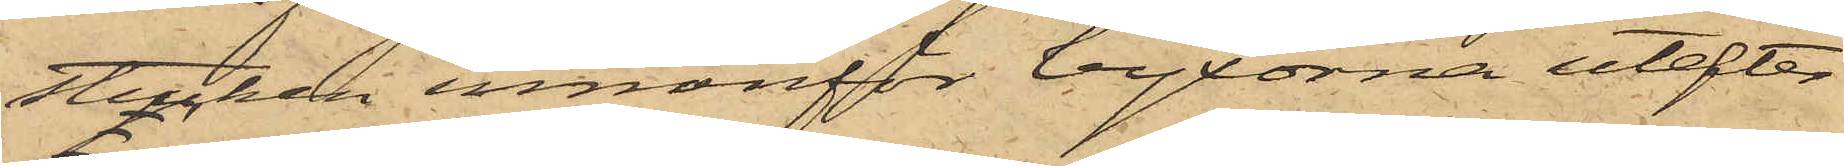stucken innanför byxorna utefter
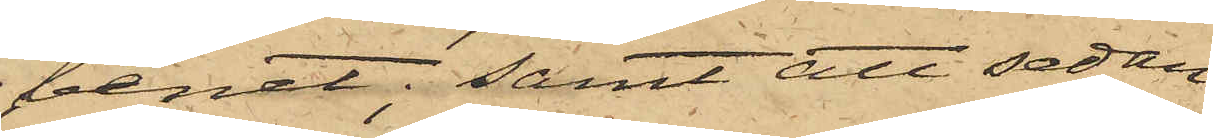benet; samt att sedan
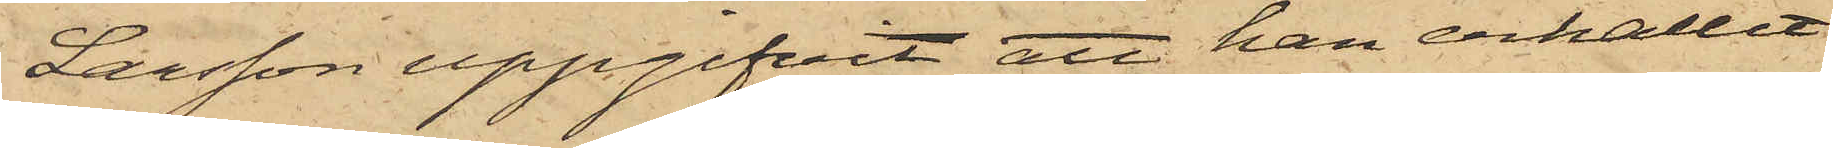Larsson uppgifvit att han erhållit
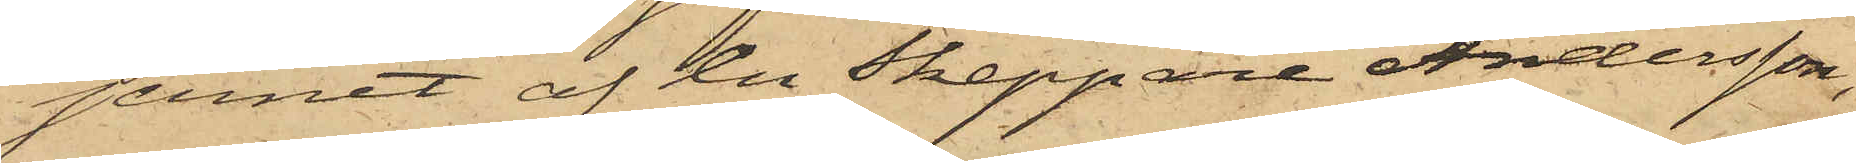jernet af en Skeppare Andersson,
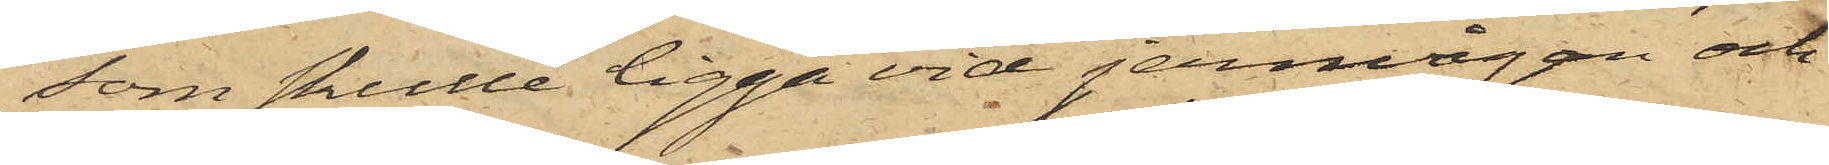som skulle ligga vid jernvågen och
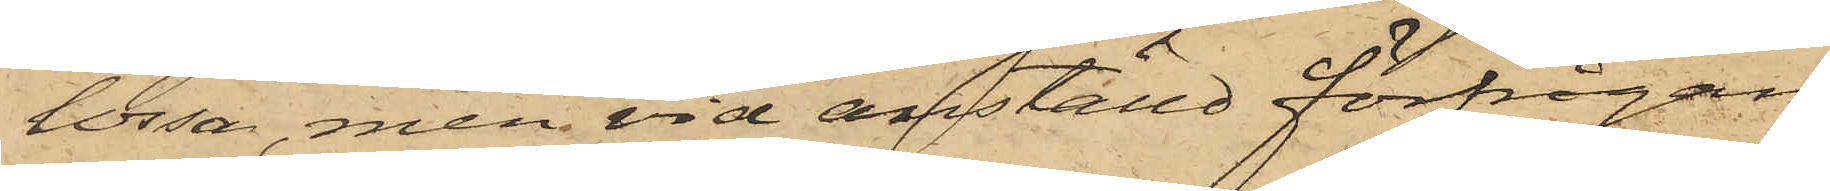lossa, men vid anställd förfrågan
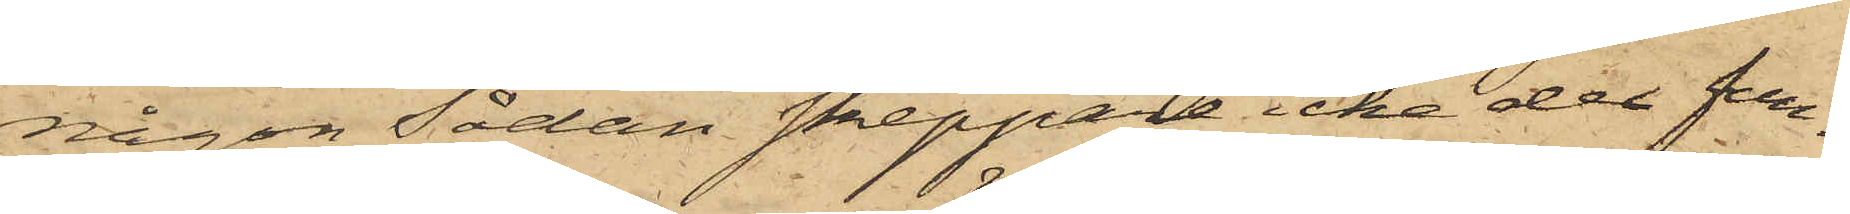någon Sådan skeppare icke der fun¬
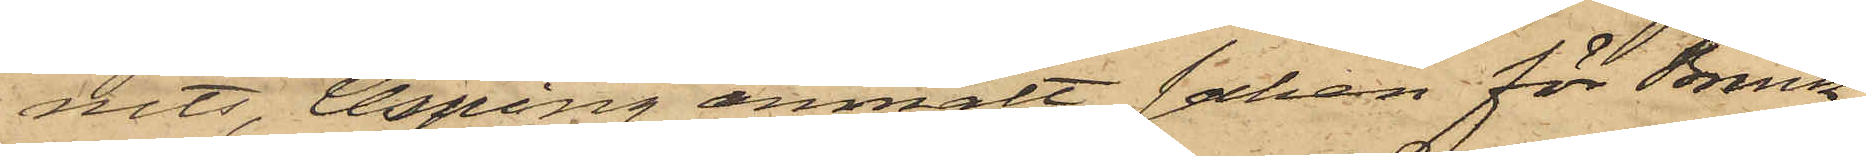nits, Asping anmält saken för Brink¬
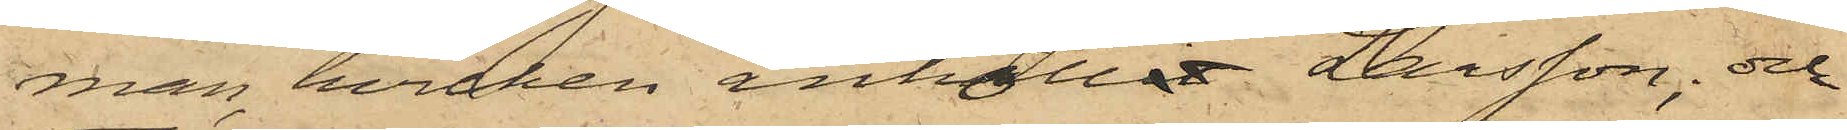man, hvilken anhöllit Larsson; och
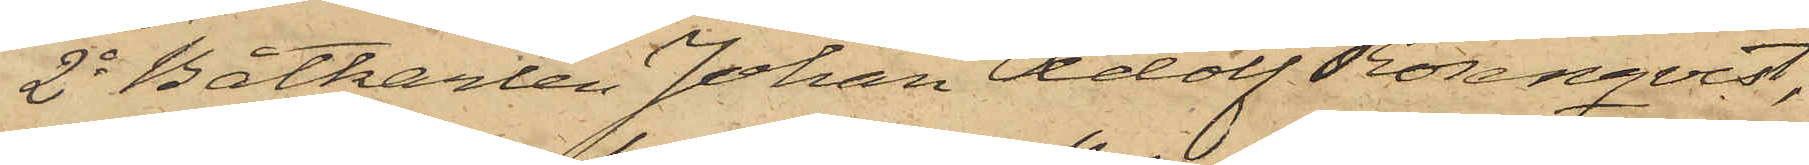2o Båtkarlen Johan Adolf Rosenqvist,
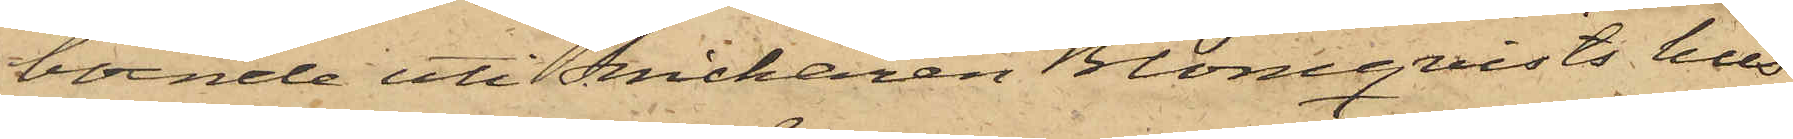boende uti Snickaren Blomqvists hus
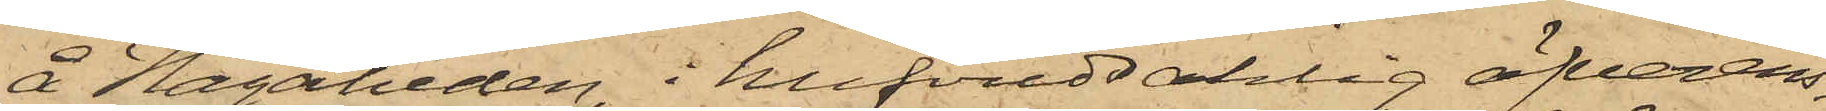å Hagaheden, i hufvudsaklig öfverens¬
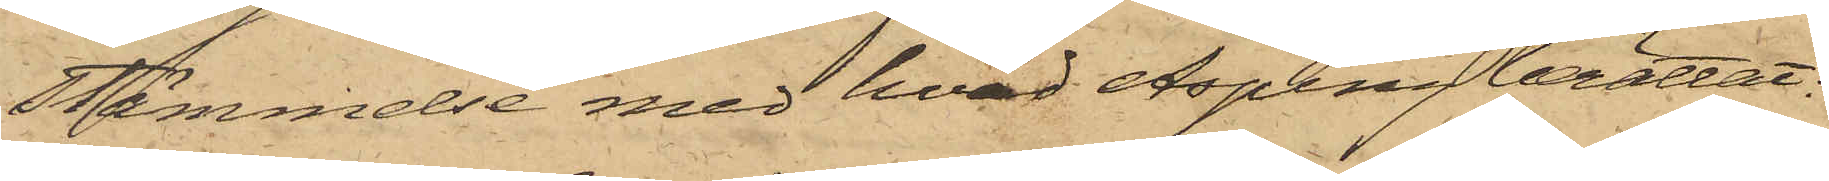stämmelse med hvad Asping berättat:
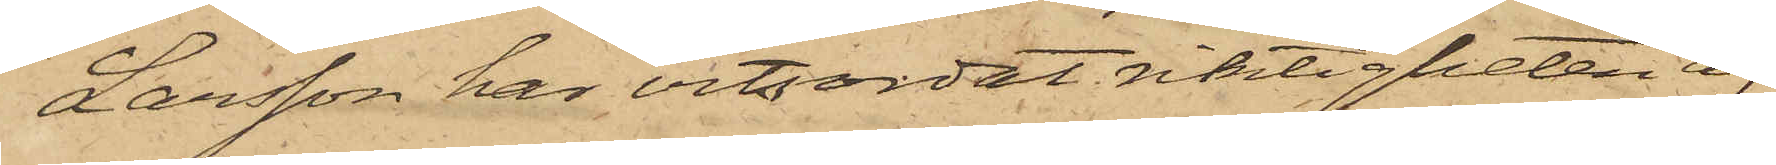Larsson har vitsordat riktigheten af
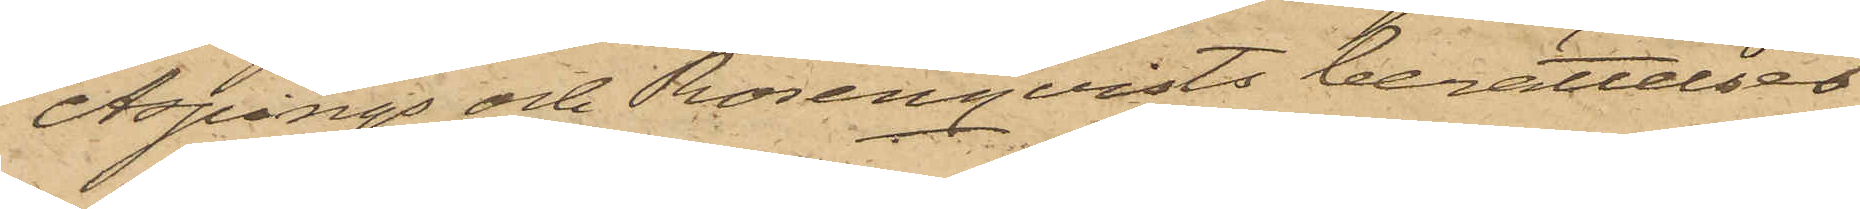Aspings och Rosenqvists berättelser
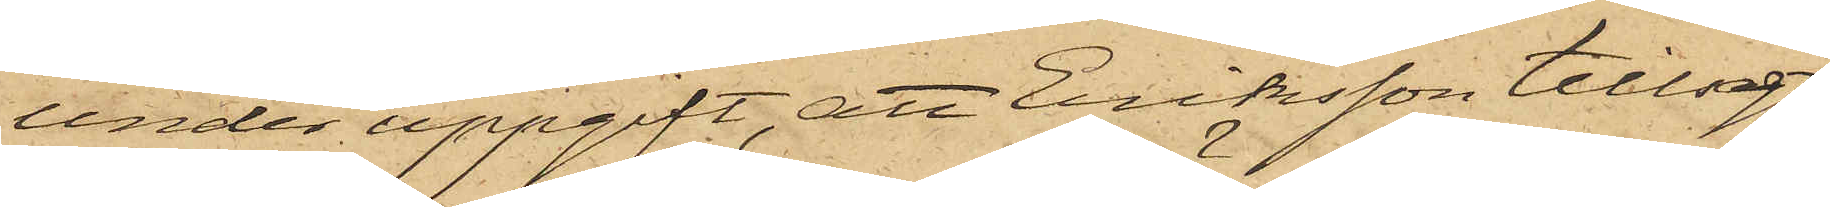under uppgift, att Eriksson tillsagt
